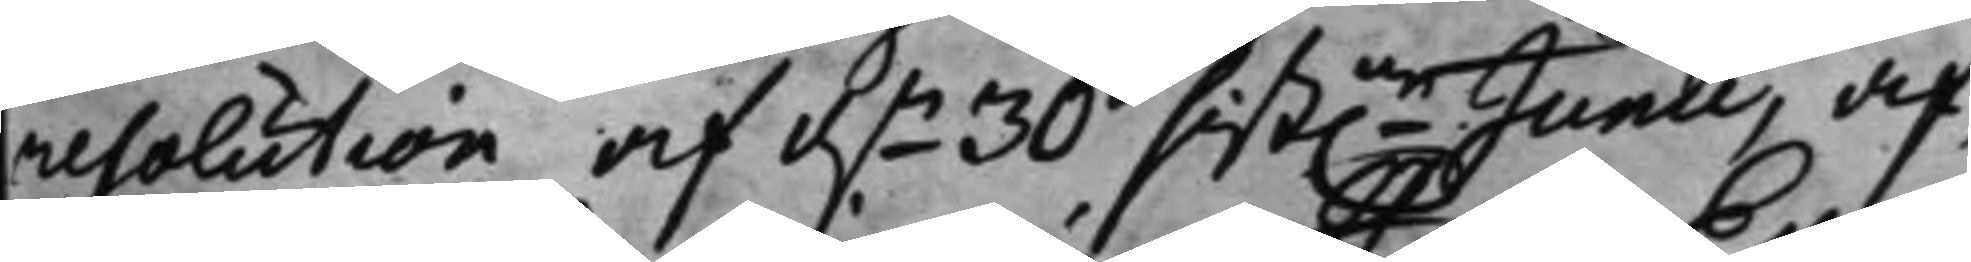resolution af d.n 30 sist.ne Junii, af¬
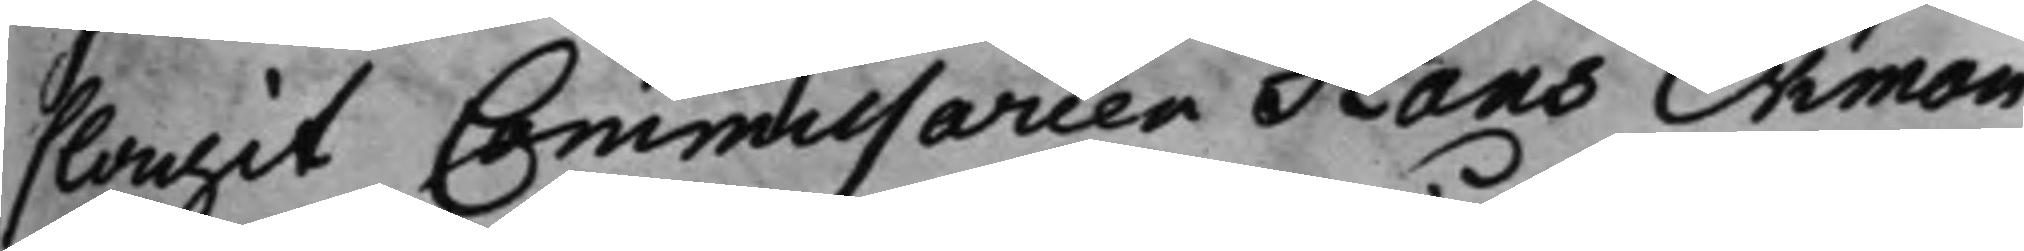slagit Commissarien Hans Ekman
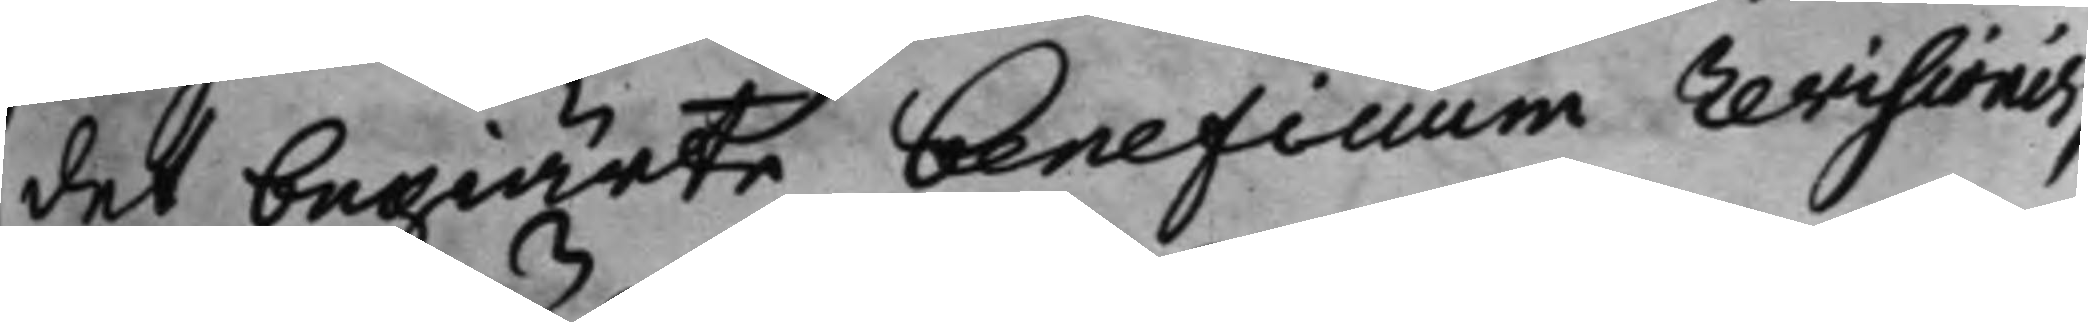det begiärte beneficium revisionis,
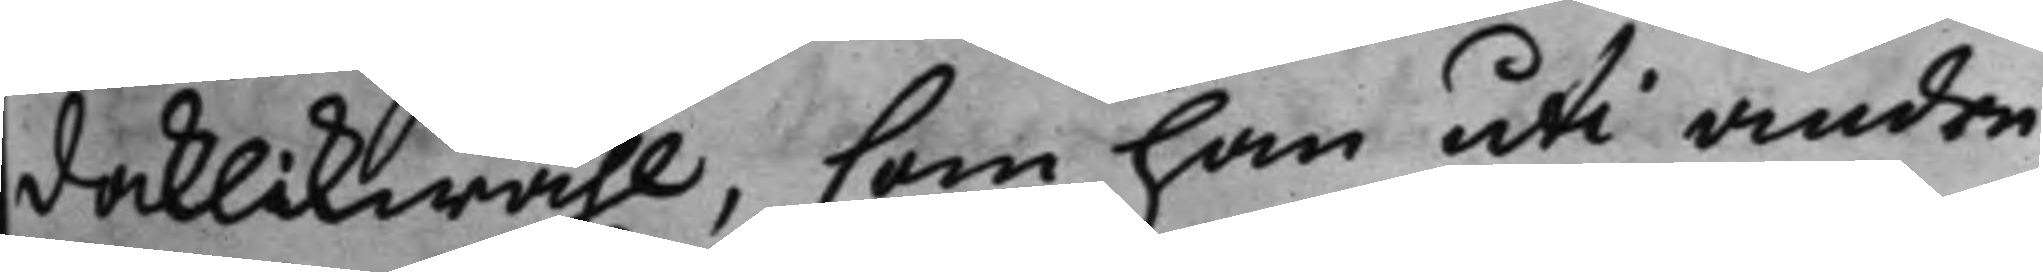docklikwähl, som han uti andre
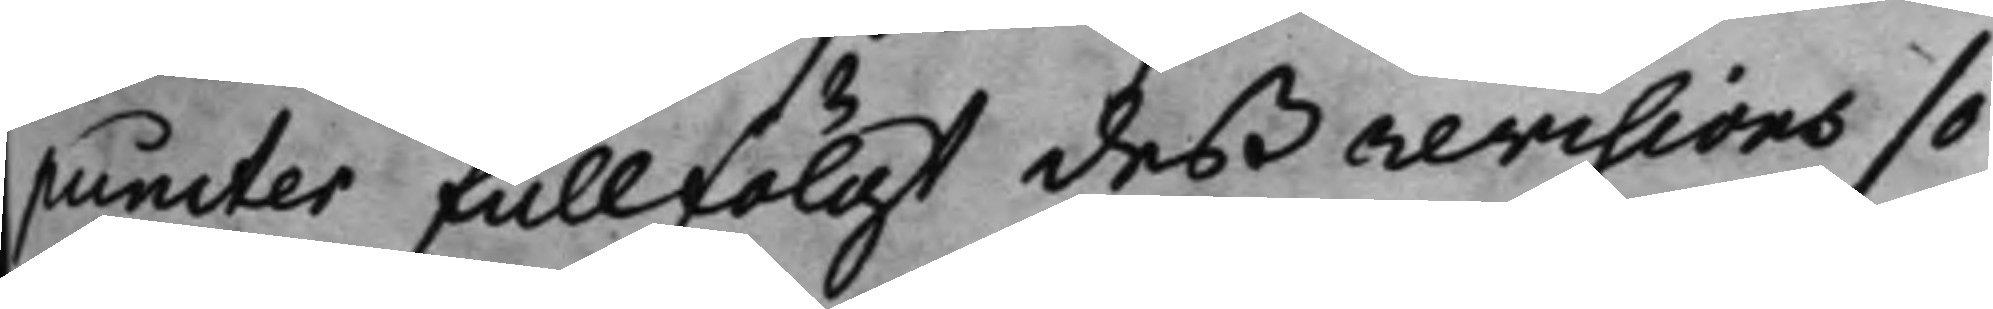puncter fullfölgt deß revisions sö¬
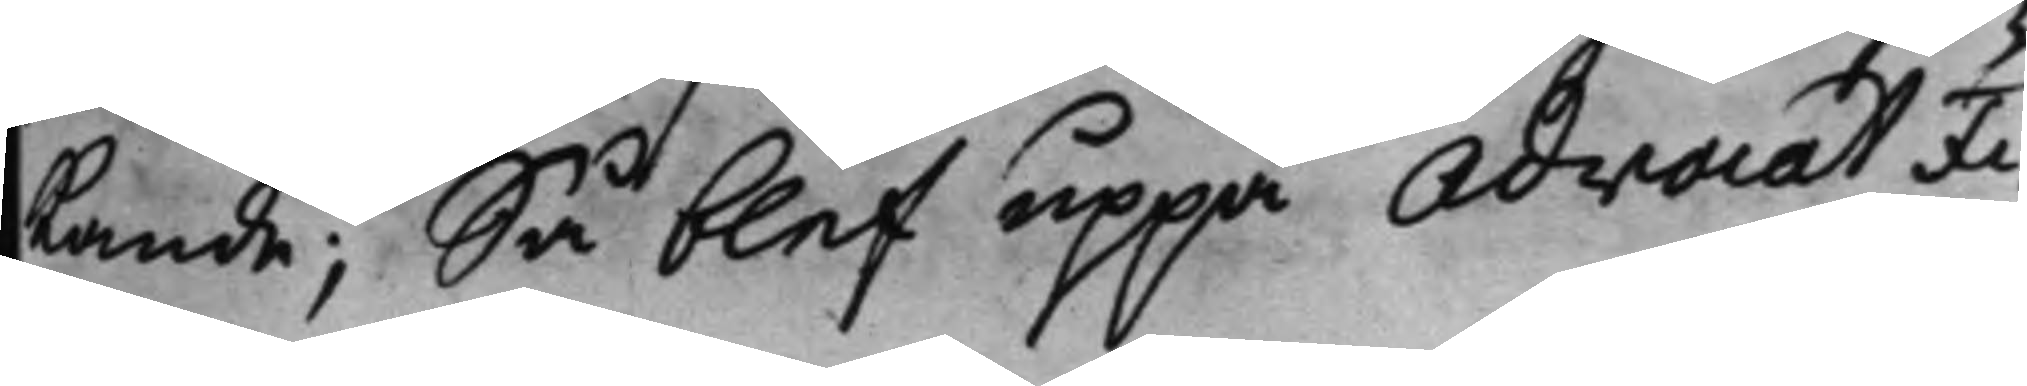kande; Så blef uppå Advocat Fi¬
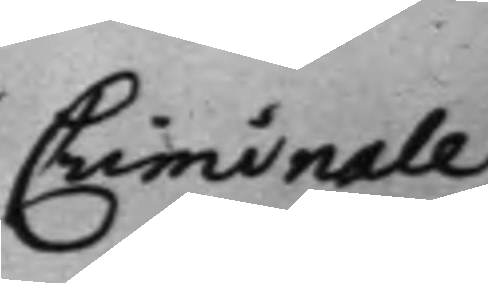Criminale
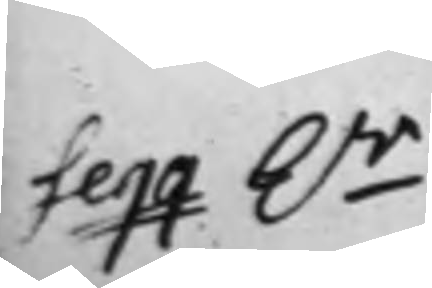Seqq. h.r
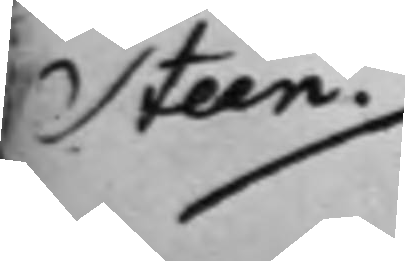Steen.
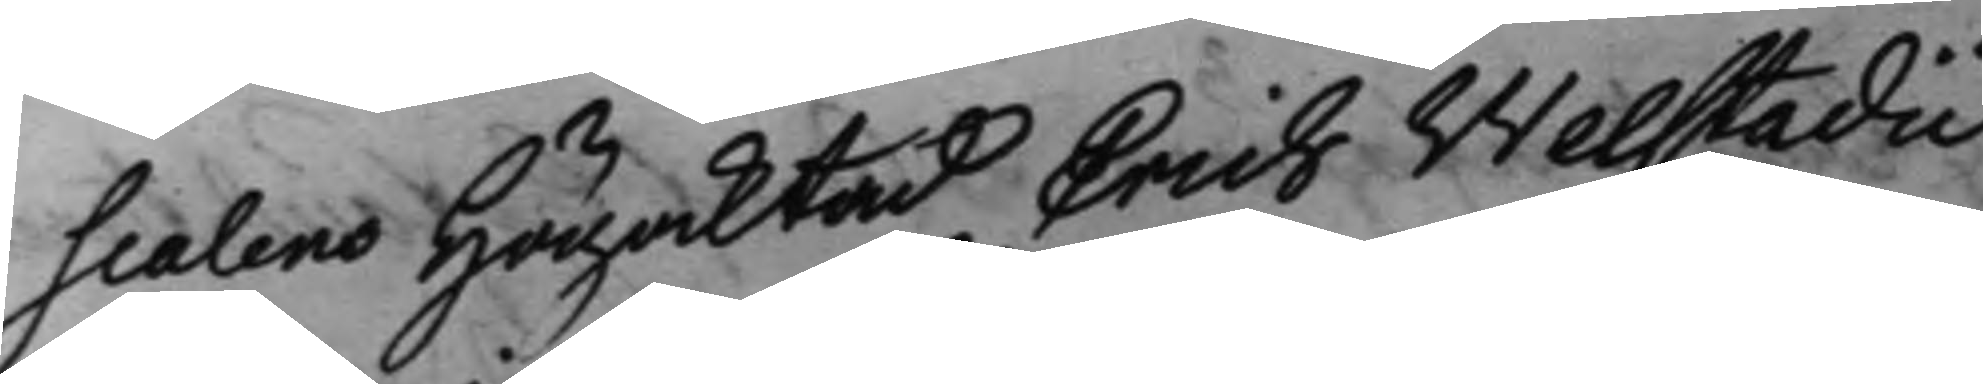scalens Högaktad Erich Welstadii
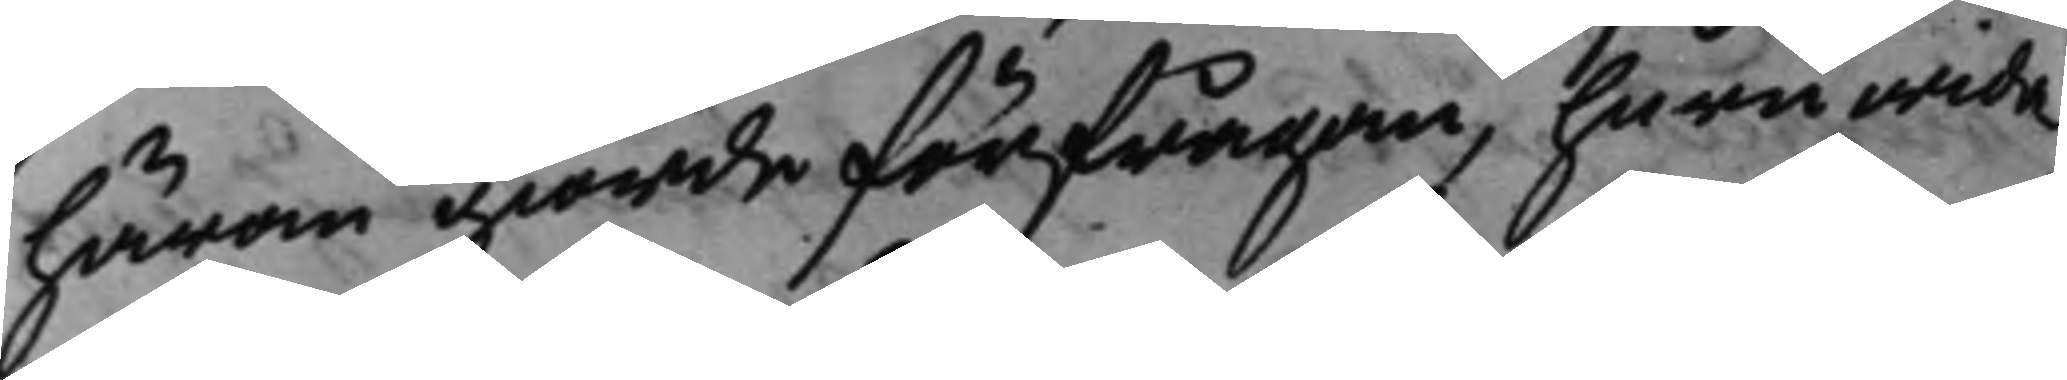härom giorde förfrågan, huruwida
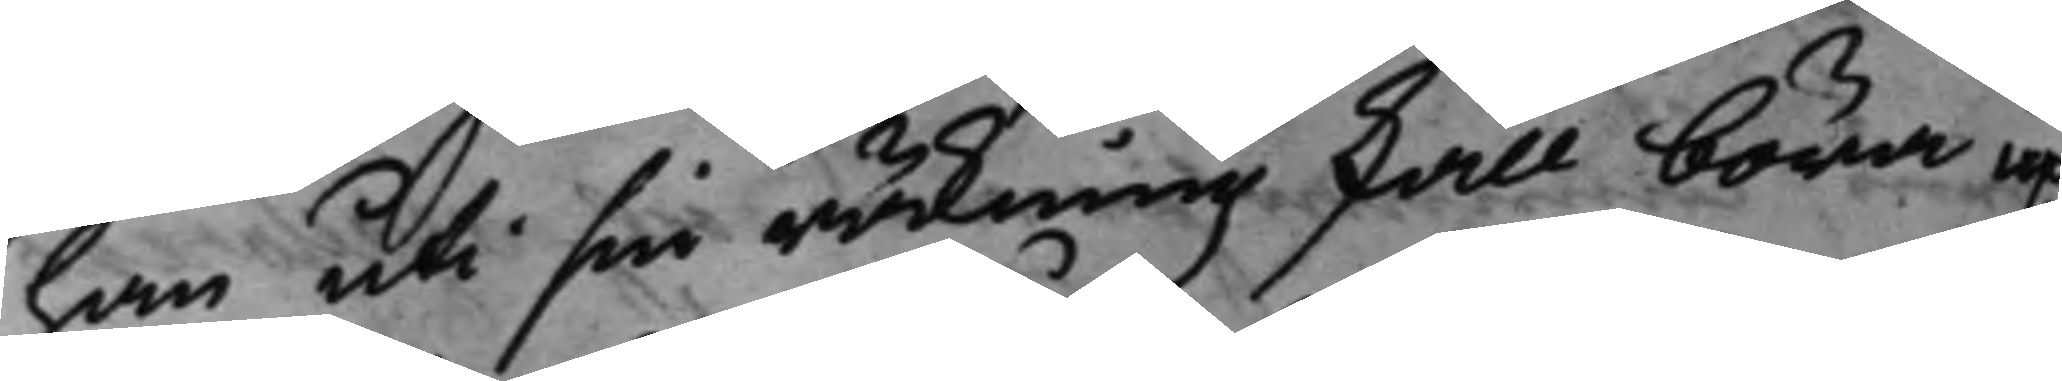han uti sin räkning skall böra up¬
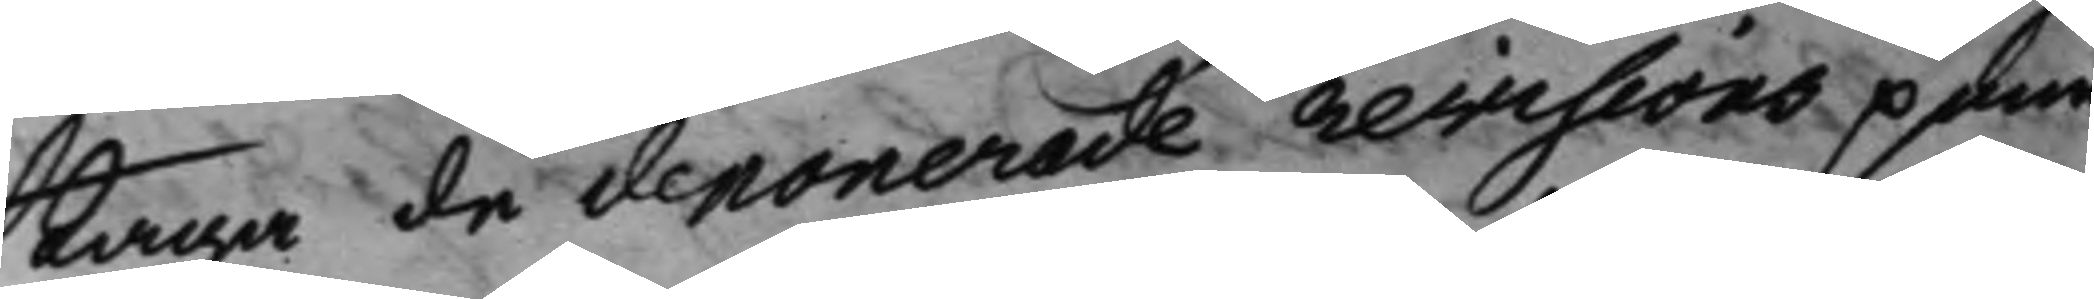taga de deponerade revisions pen¬
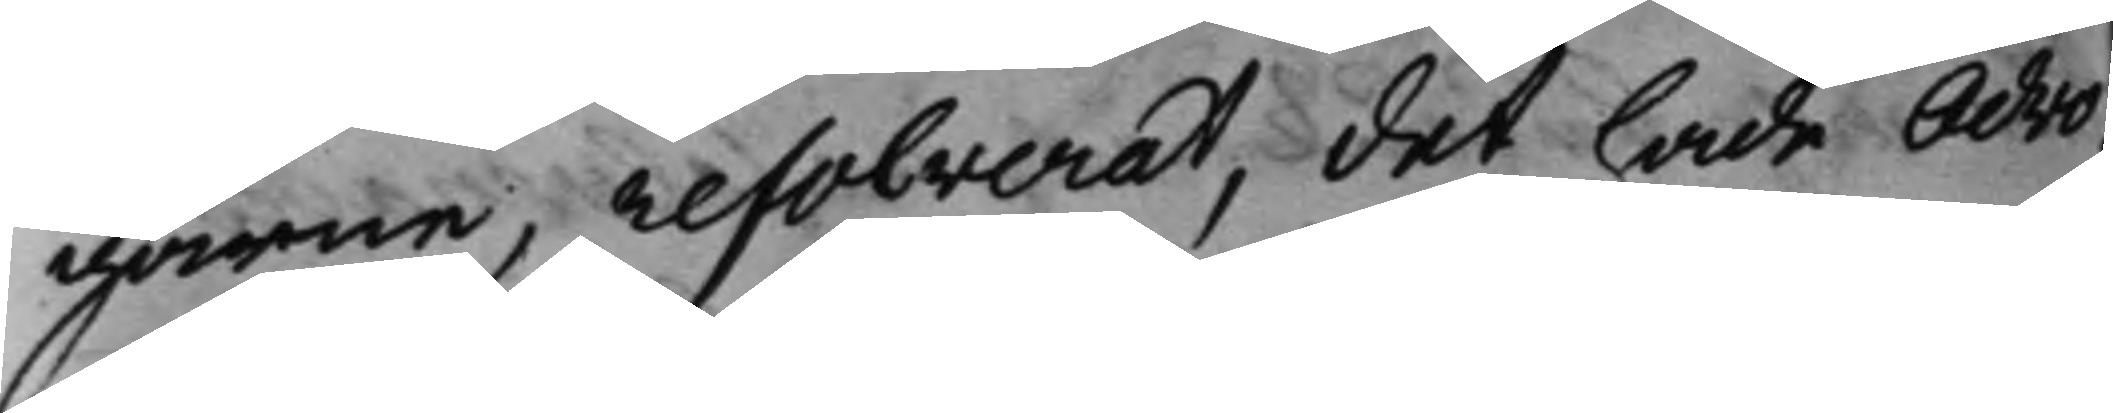garne, resolverat, det hade Advo¬
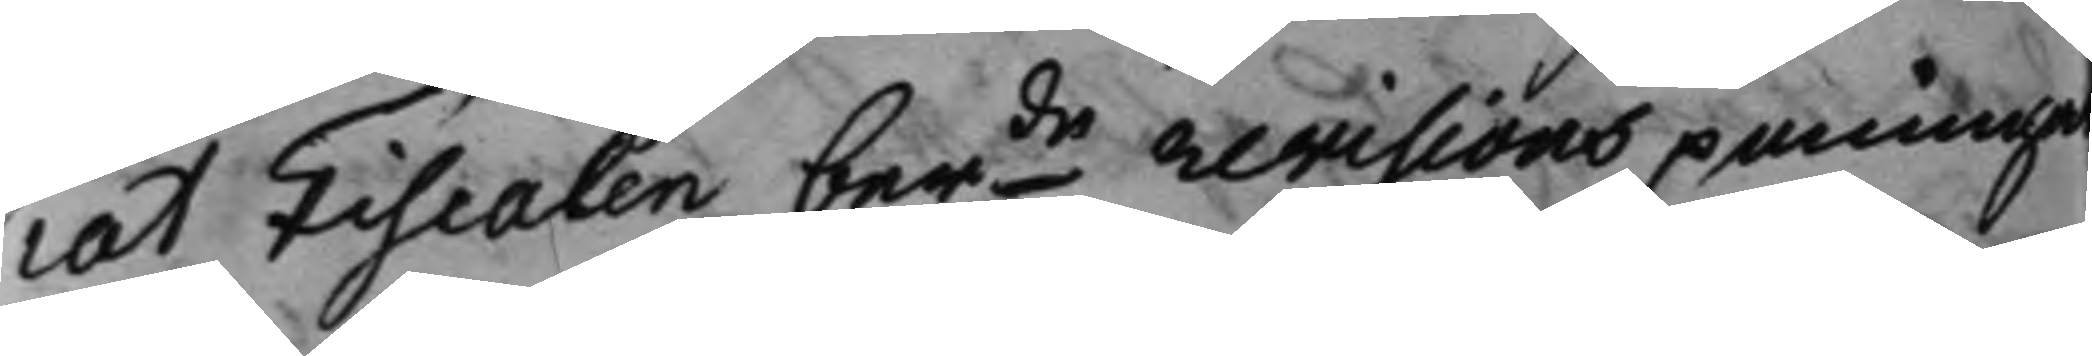cat Fiscalen berde revisions peninga
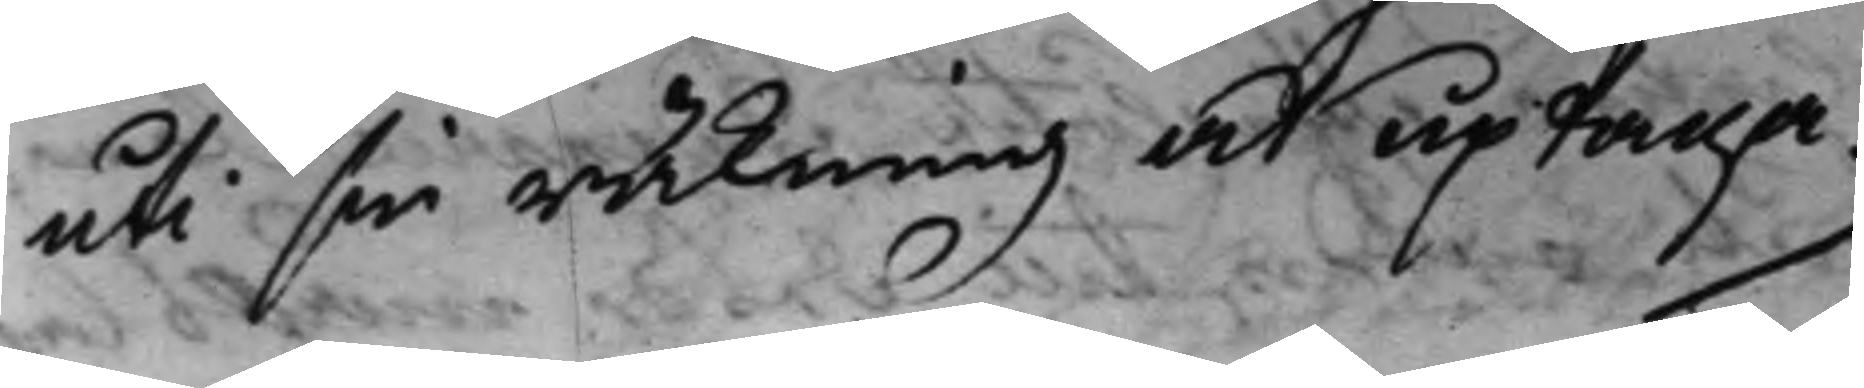uti sin räkning at uptaga.
